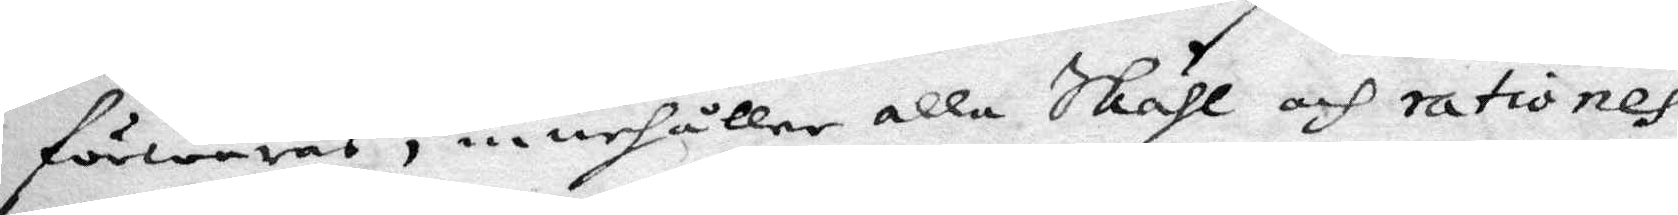förwaras, innehåller alla Skähl och rationes
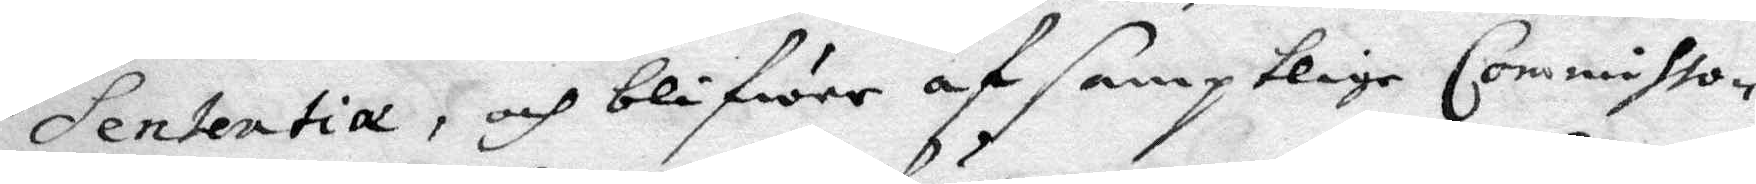Sententia, och blifwer af samptlige Commissio¬
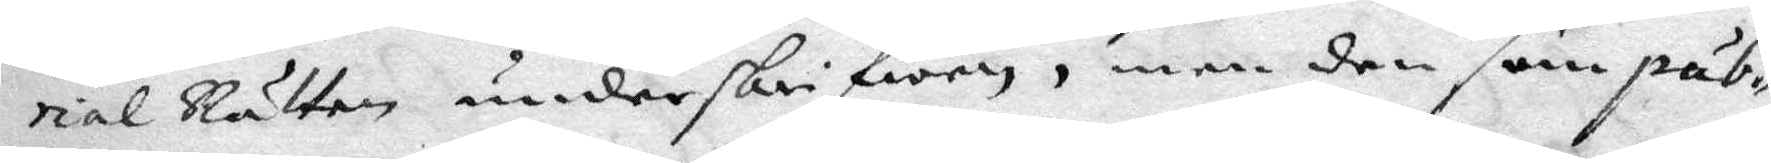rial Rätten underskrifwen, men den som pub¬
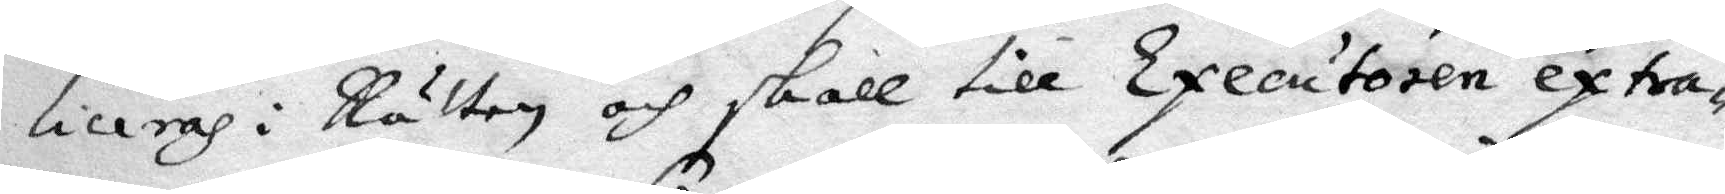liceras i Rätten och skall till Executoren extra¬
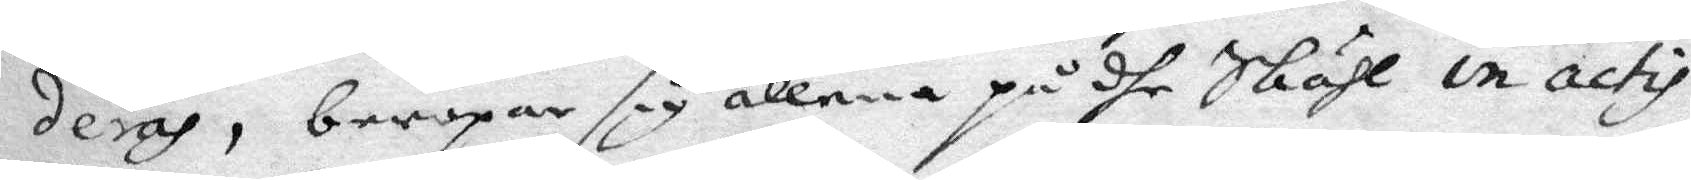deras, beropar sig allena på dhe Skähl in actis
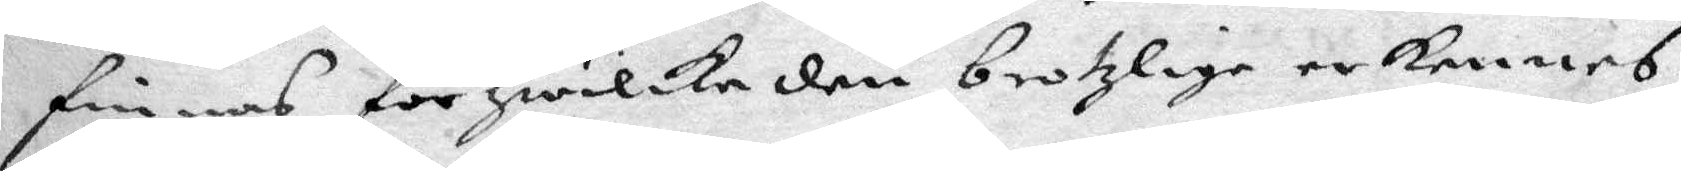finnas för hwilke den brotzlige erkennes
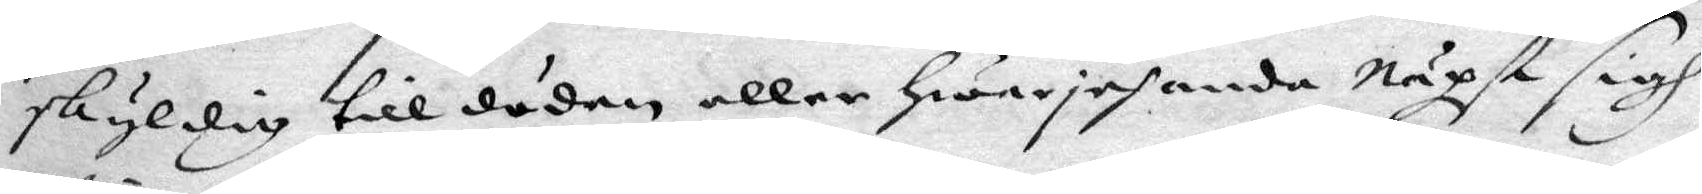skyldig till döden eller hwarjehanda näpst sigh
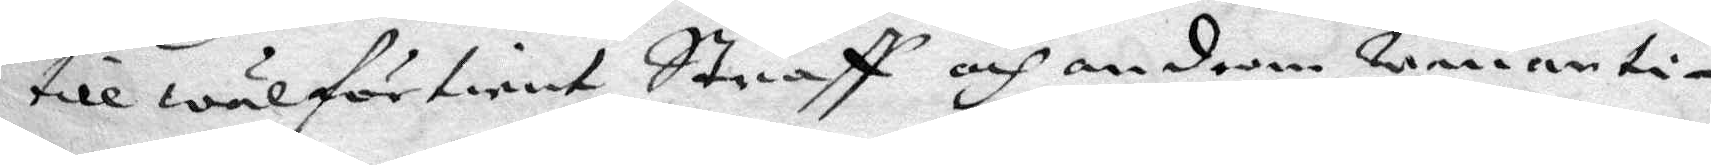till wäl förtient Straff och androm wanarti¬
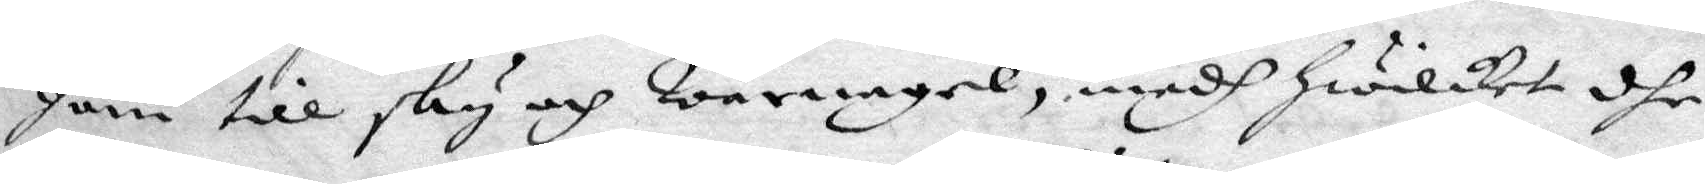gom till sky och warnagel, medh hwilket dhe
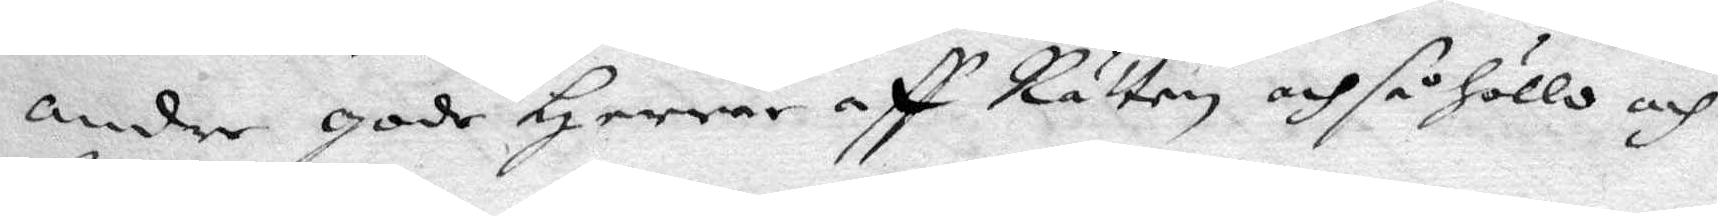andre gode Herrar aff Rätten och så höllo och
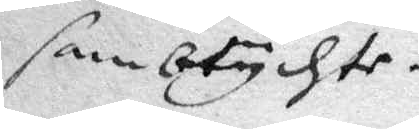sambtychte.
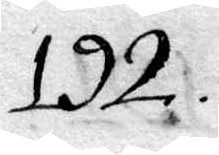192.
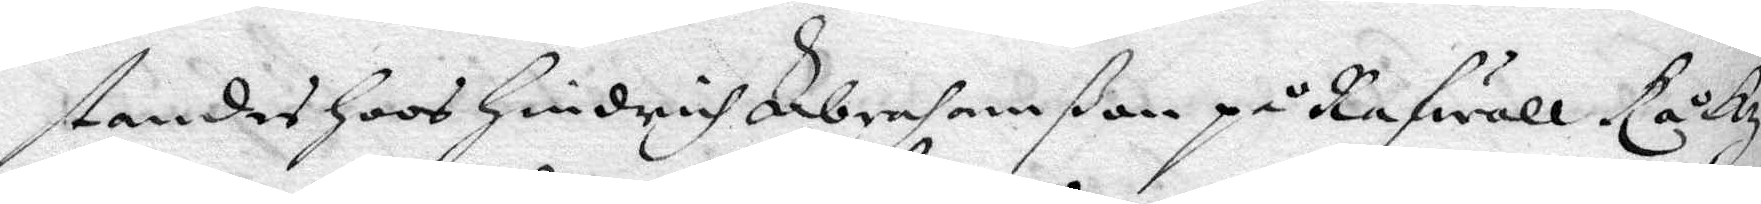standes Hoos Hindrich Abrahamßon på Rafwall Råkz
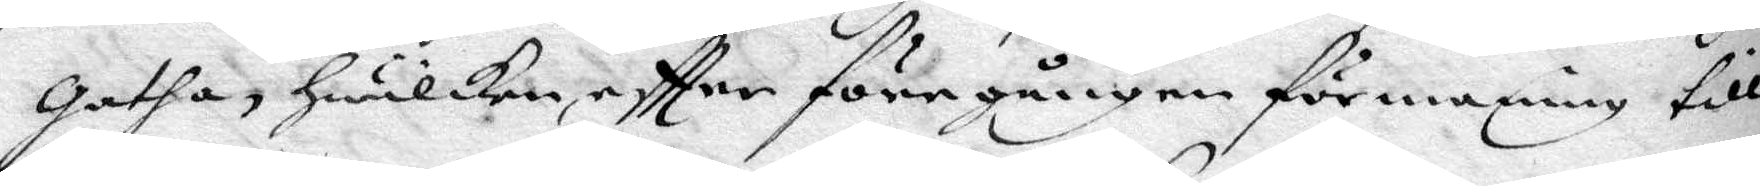gatha, Hwilken eftter föregången förmaning till
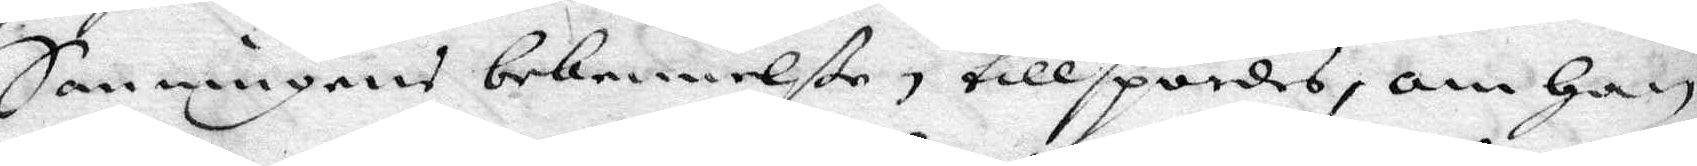Sanningens bekennelße tillspordes, om Han
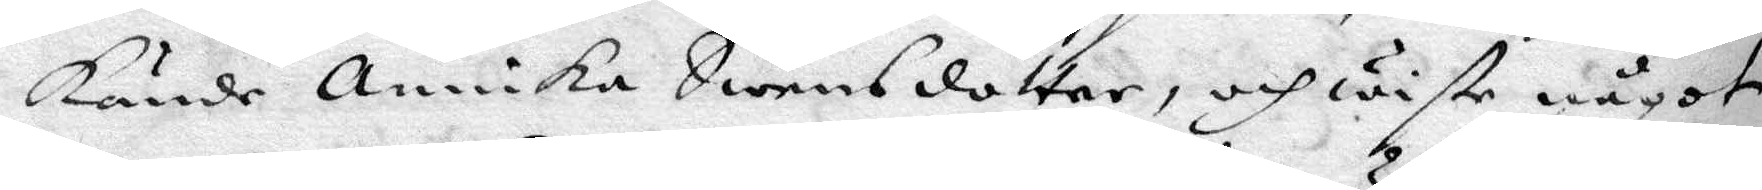kände Annika Swensdotter, och wiste något
